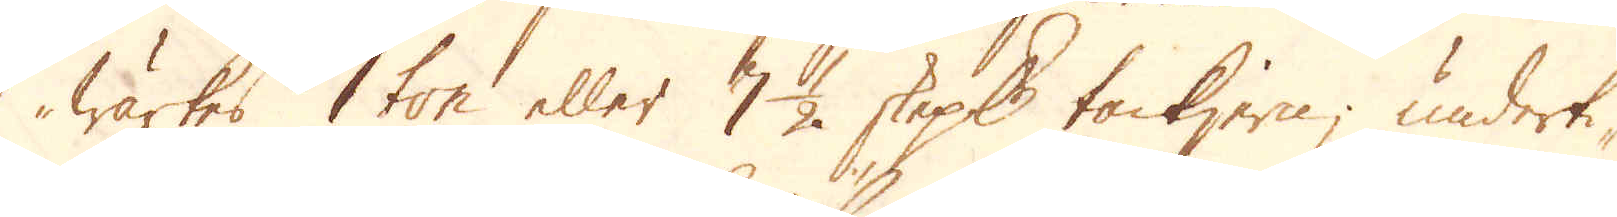wärkes 1 ton eller 7 1/2 skeppund tackjern; underti-
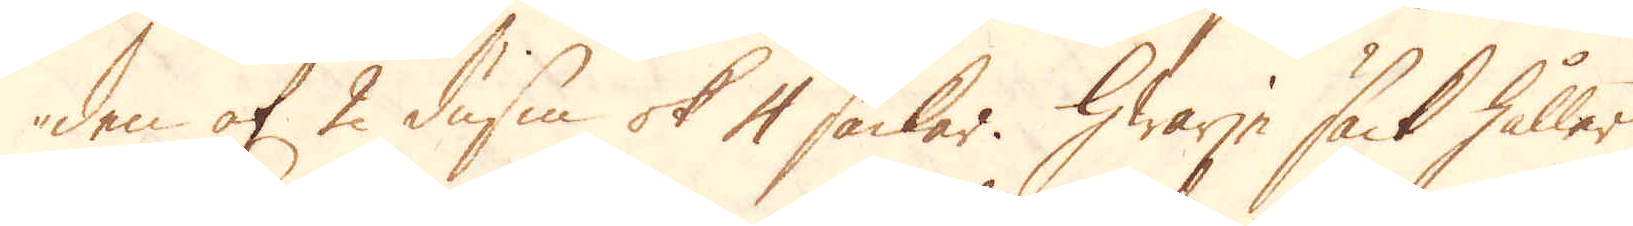den af 2 dussin ok 4 säckar. Hwarje säck håller
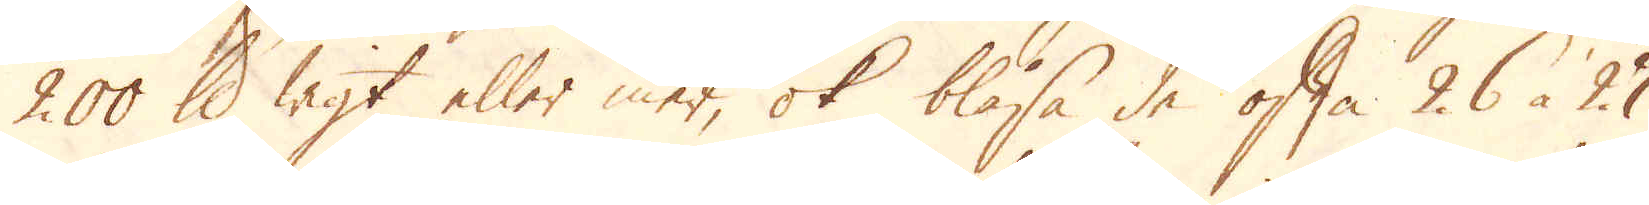200 skålpund wigt eller mer, ok blåsa de ofta 26 à 27
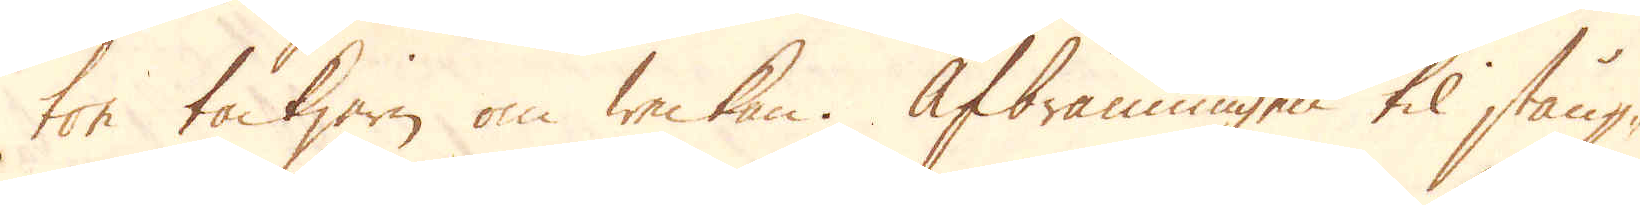ton tackjern om weckan. Afbränningen til stång-
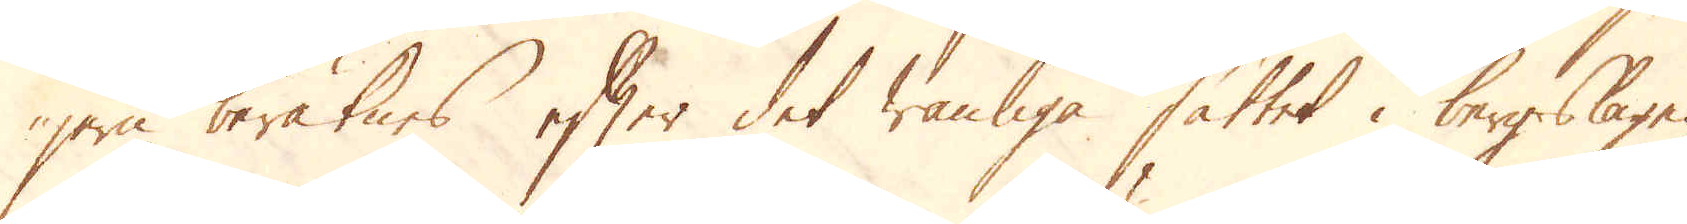jern beräknes efter det wanliga sättet i bergslagen
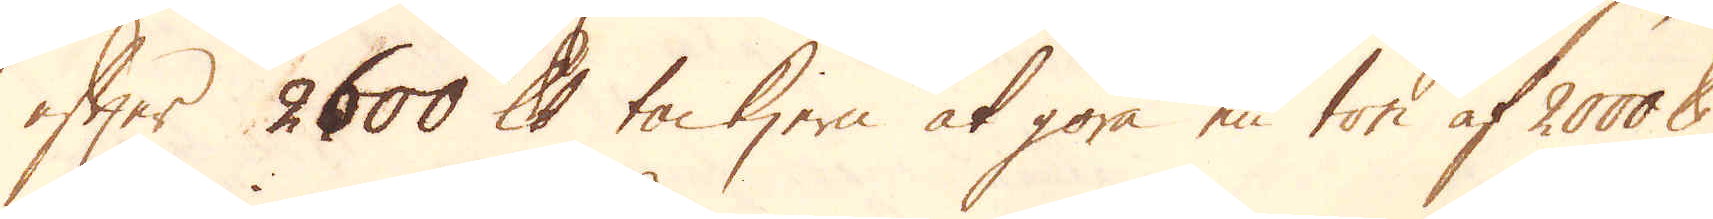efter 2600 skålpund tackjern at göra en ton af 2000 skålpund
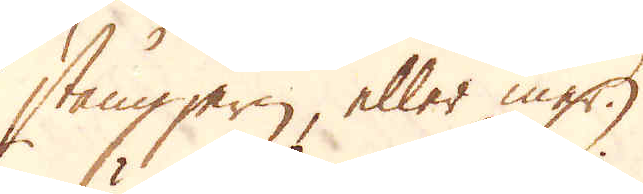stångjern, eller mer.
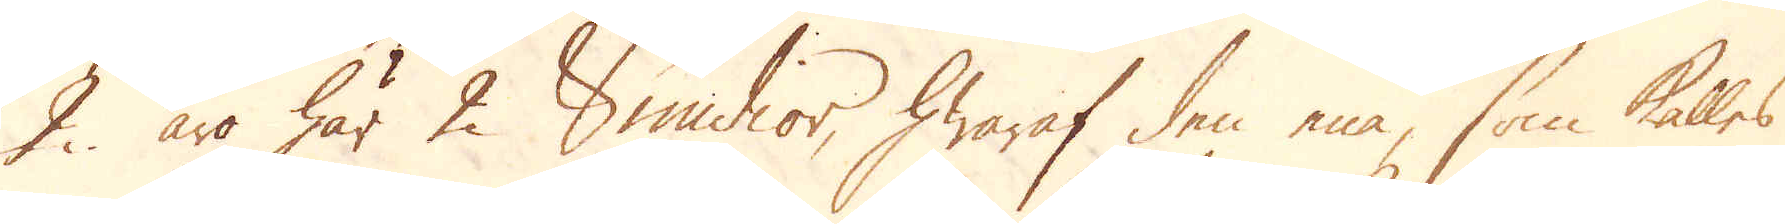2. äro här 2 Smidior, hwaraf den ena, som kalles
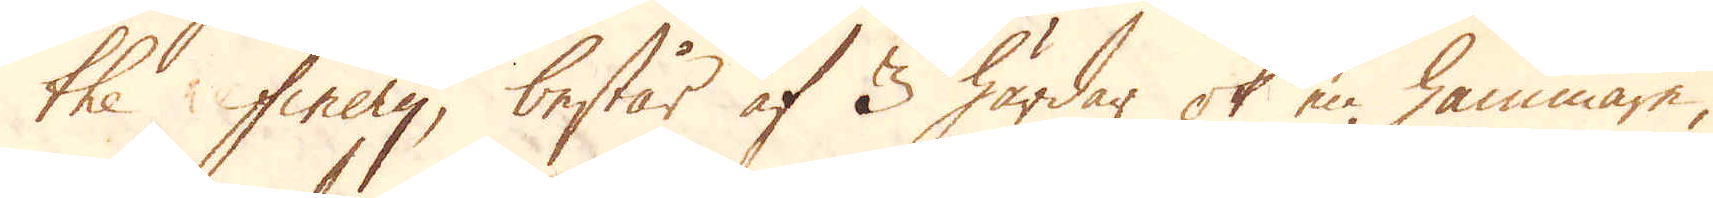the finery, består af 3 härdar ok en hammare,
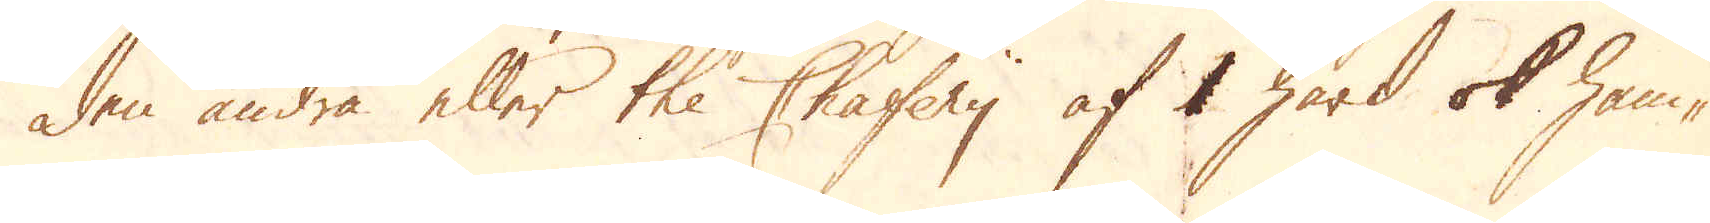den andra eller the Chafery af 1 härd ok ham-
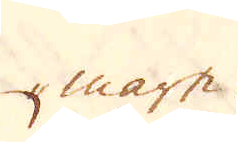mare.
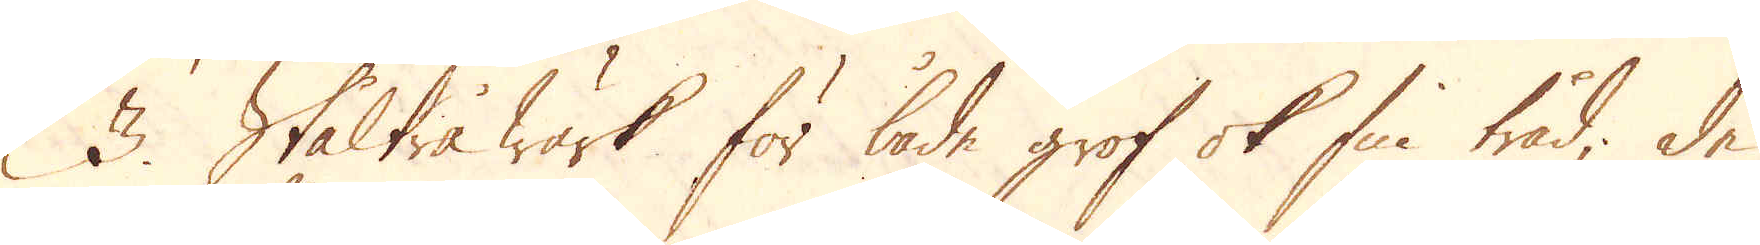3. Ståltrå Wärk för både grof ok fin tråd; de
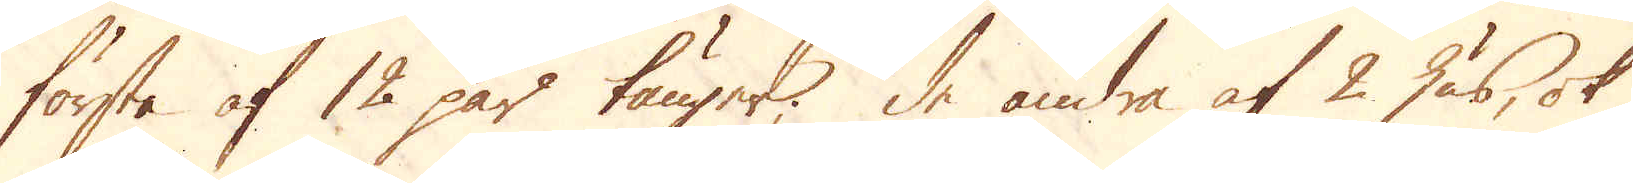första af 12 par tänger; de andra af 2 hus, ok
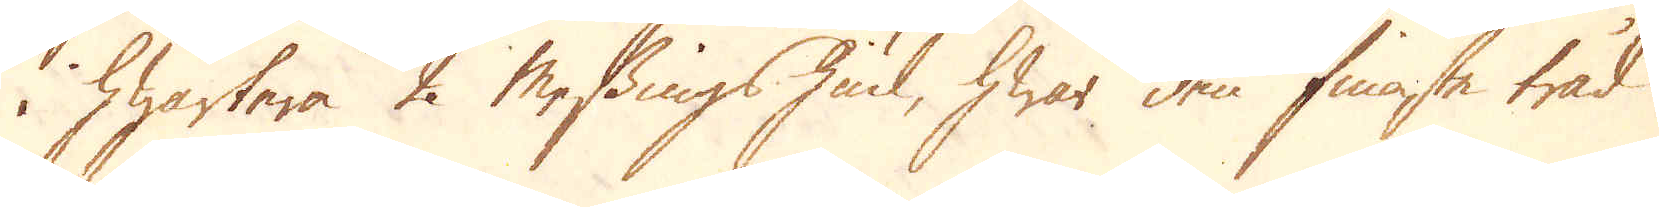i hwartera 2 Messingshiul, hwar den finaste tråd
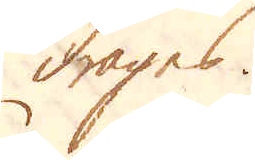drages.
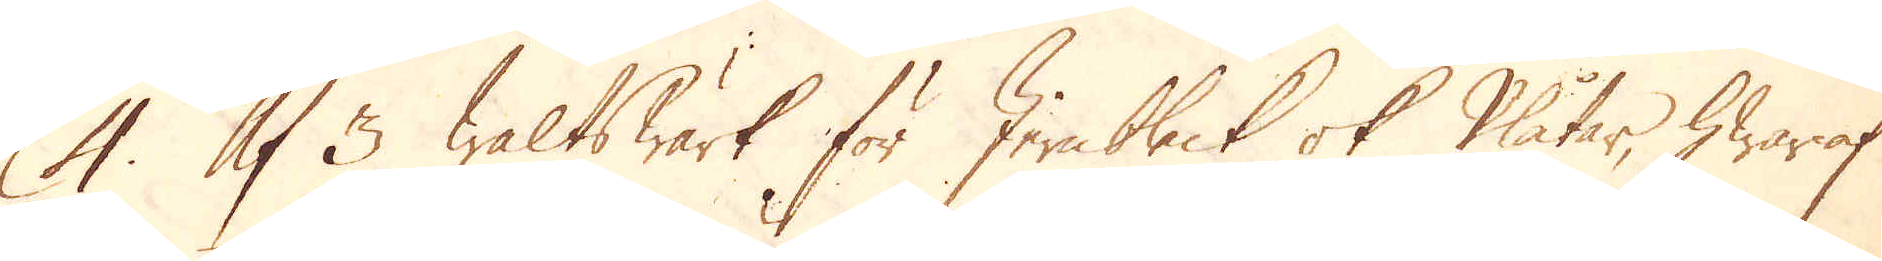4. Af 3 Walts Wärk för Jern bleck ok Plåtar, hwaraf
